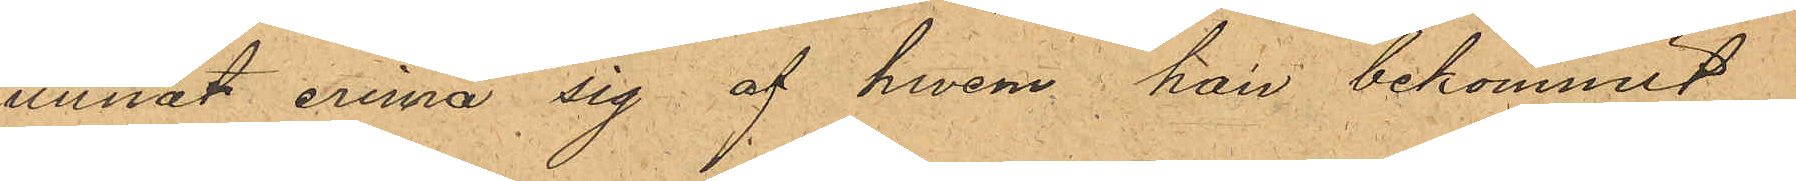kunnat erinra sig af hwem han bekommit
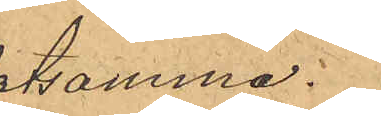detsamma.
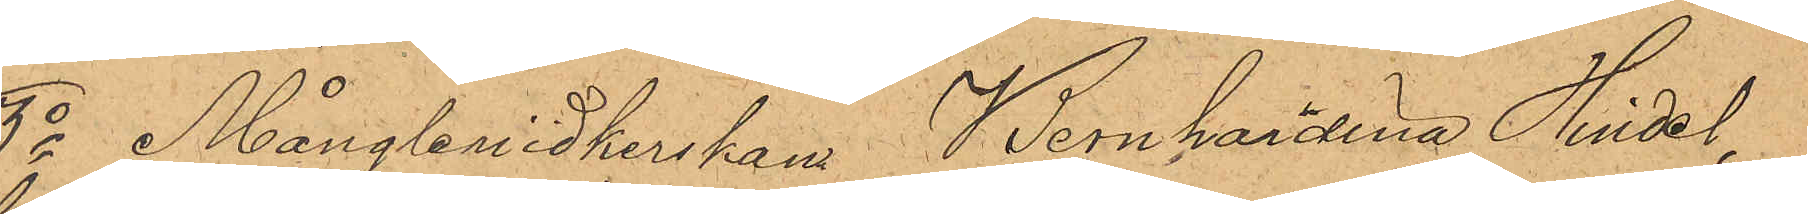3o Mångleriidkerskan Bernhardina Hindel
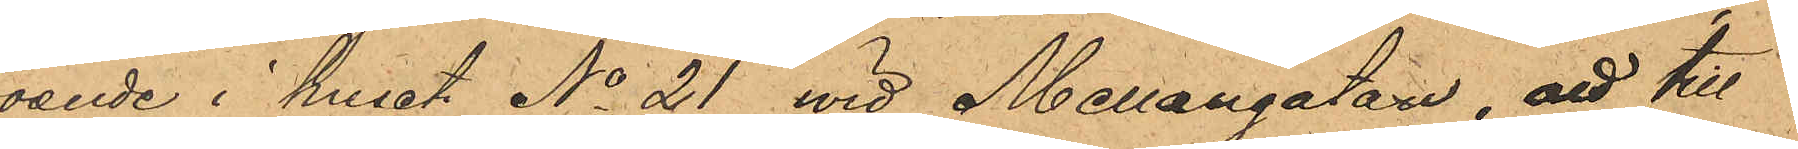boende i huset No 21 wid Mellangatan, att till
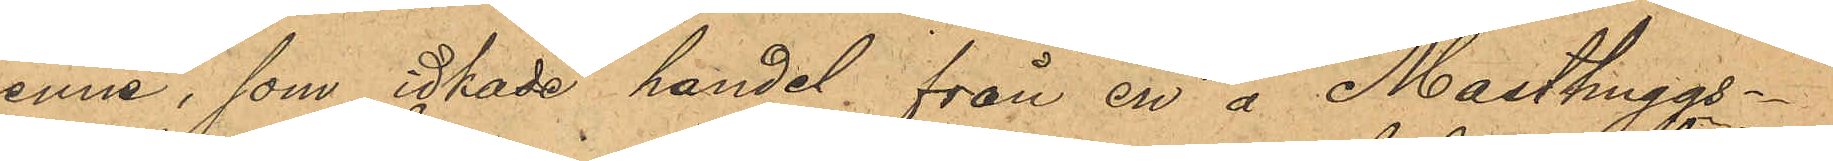henne, som idkade handel, från en å Masthuggs¬
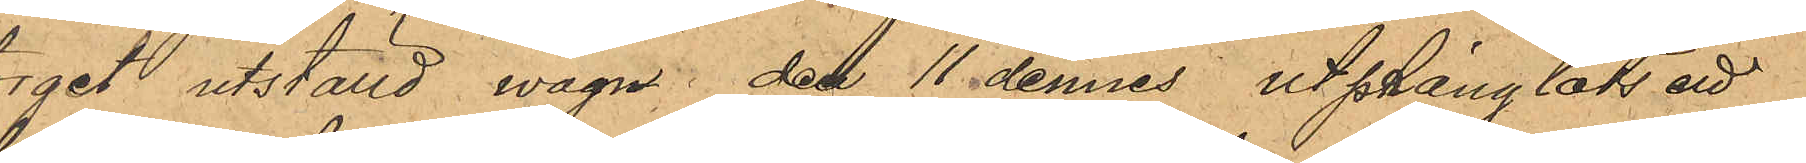torget utställd wagn den 11 dennes utprånglats ett
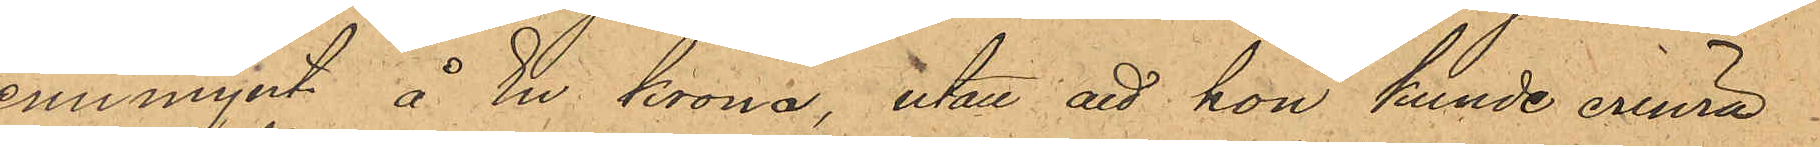tennmynt å En krona, utan att hon kunde erinra
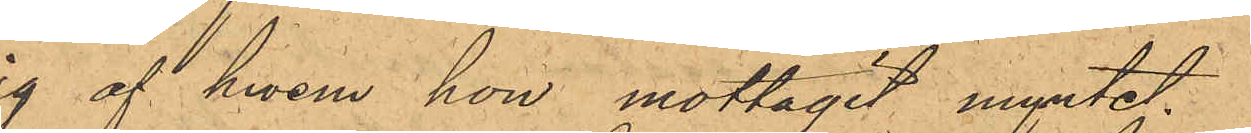sig af hwem hon mottagit myntet.
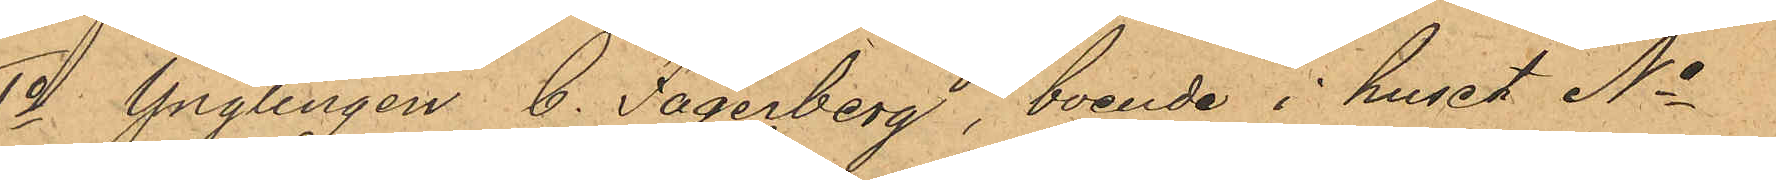4o Ynglingen C. Fagerberg, boende i huset No
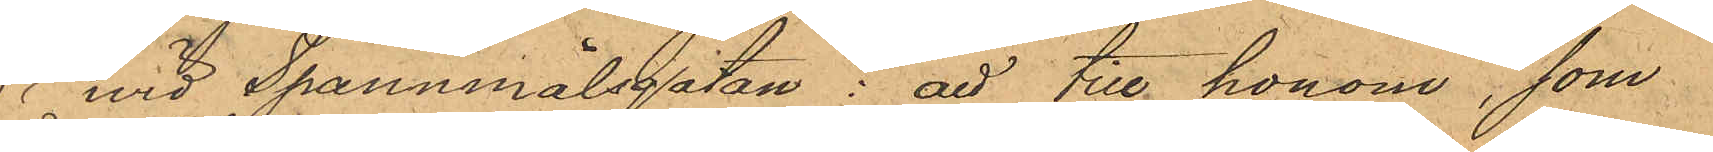15 vid Spannmålsgatan: att till honom, som
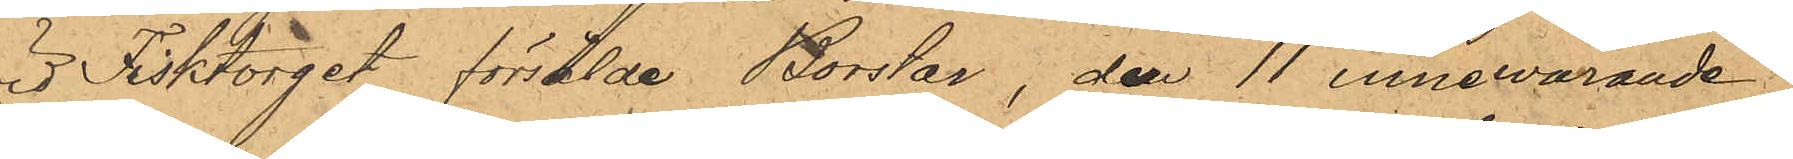wid Fisktorget försålde Borstar, den 11 innevarande
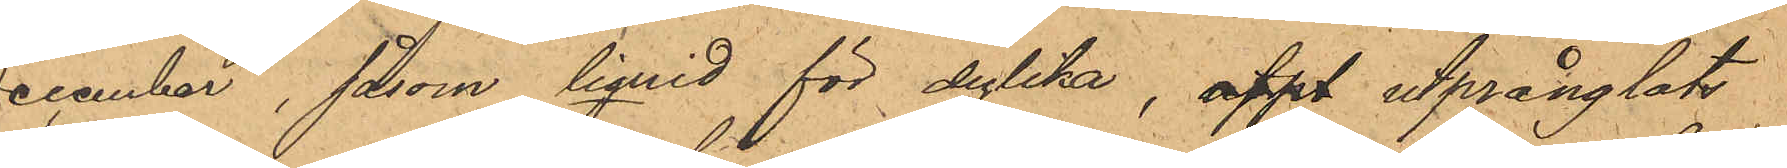December, i såsom liquid för dylika, utpt utprånglats
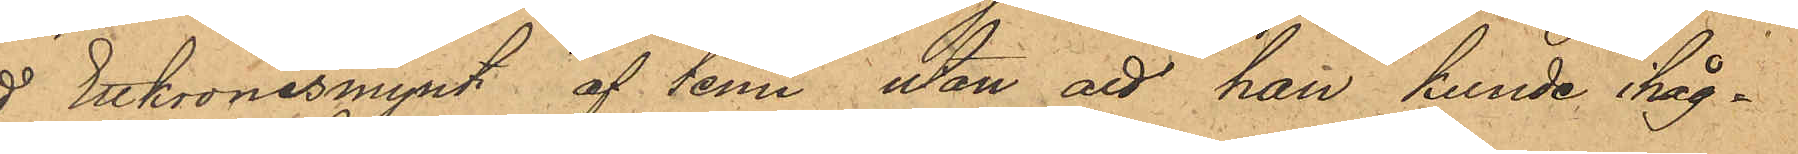ett Ettkronesmynt af tenn utan att han kunde ihåg¬
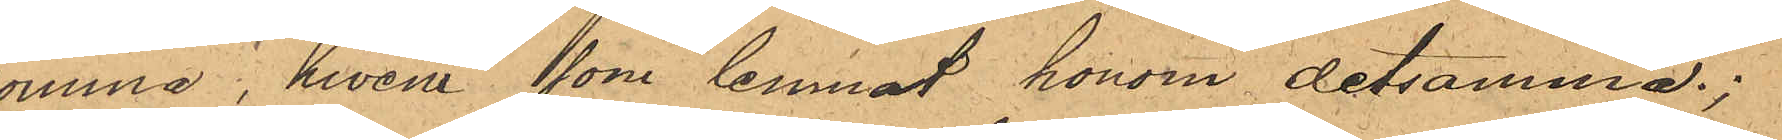komma, hwem som lemnat honom detsamma.
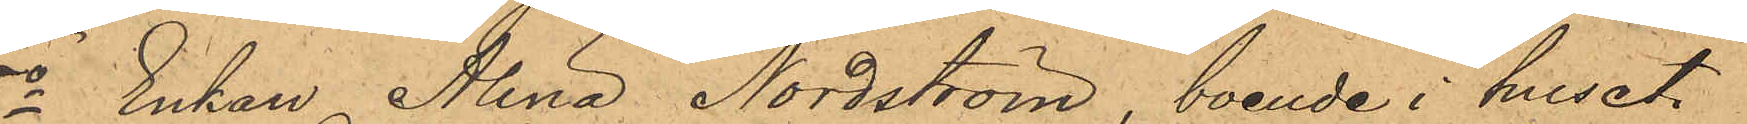5o Enkan Alina Nordström, boende i huset
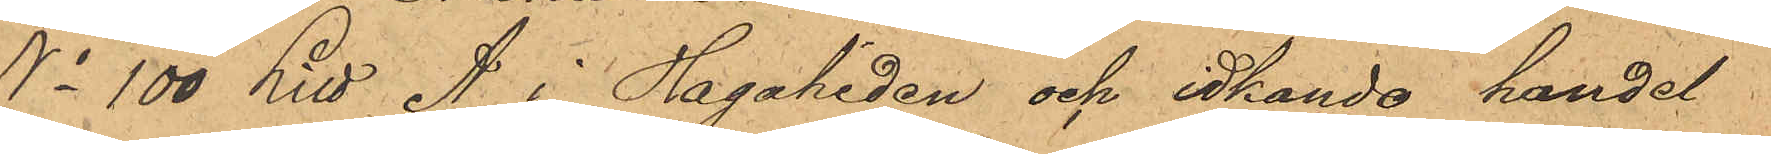No 100 Litt A i Hagaheden och idkande handel
